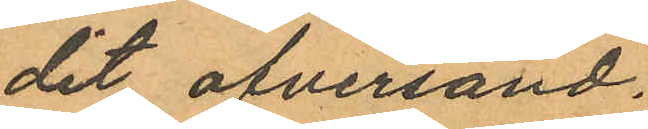dit öfversänd.
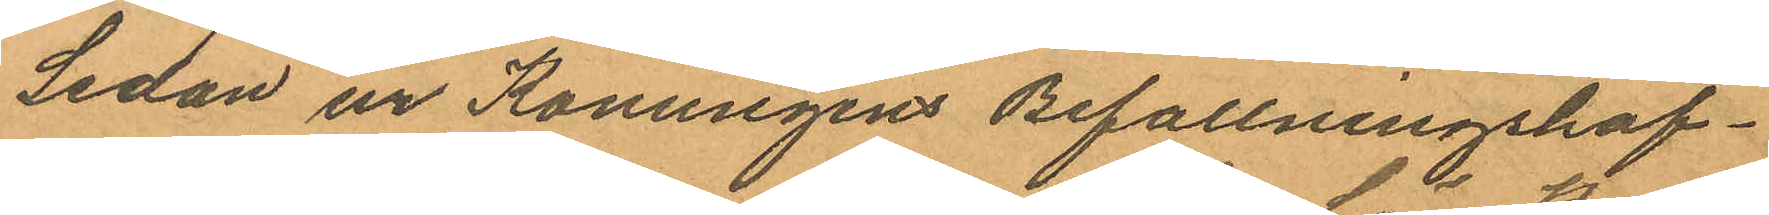Sedan ur Konungens befallningshaf¬
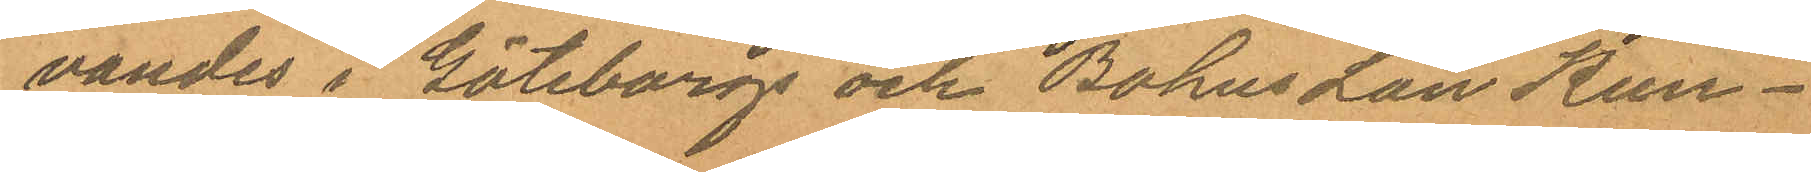vandes i Göteborgs och Bohus Län Kun¬
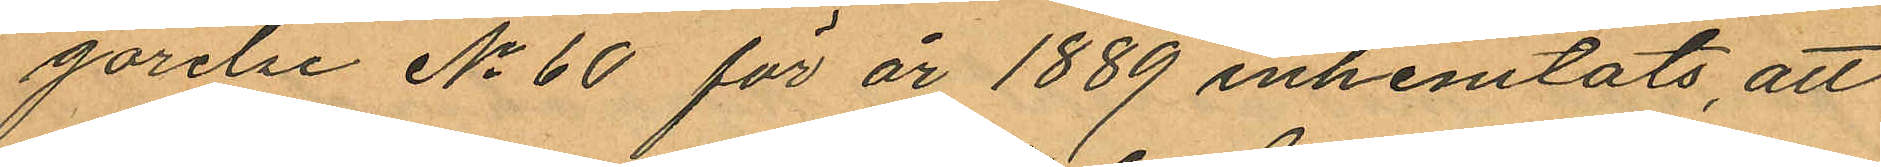görelse No 60 för år 1889 inhemtats, att
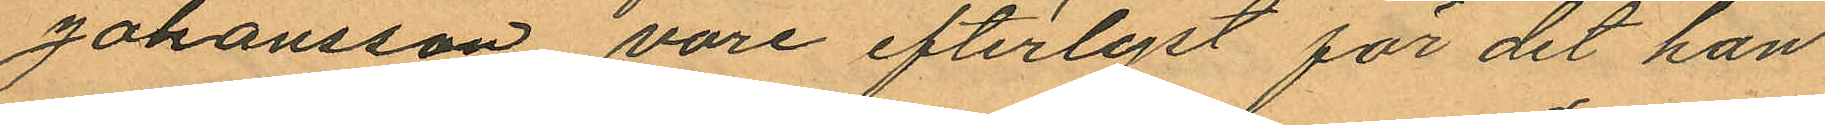Johansson vore efterlyst för det han
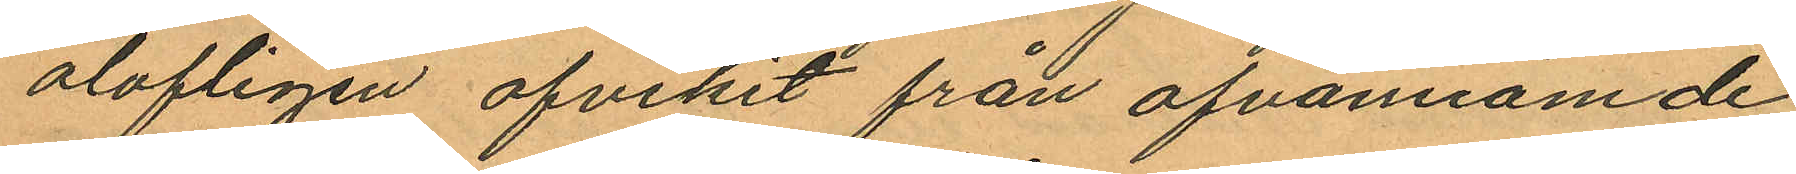olofligen afvikit från ofvannämde
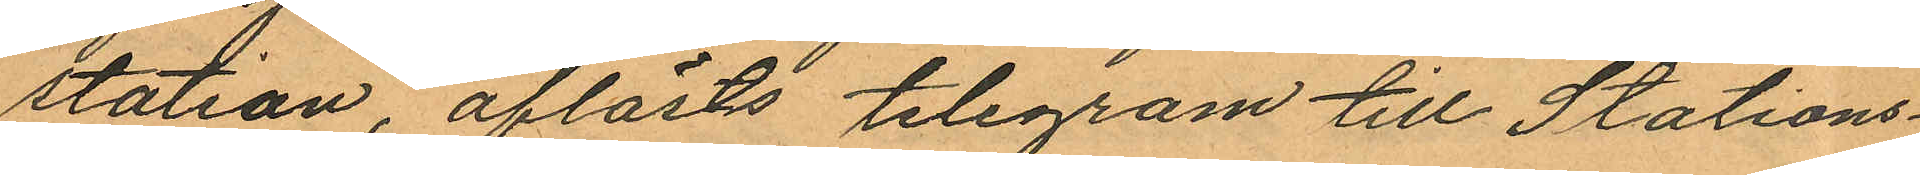station, aflästs telegram till Stations¬
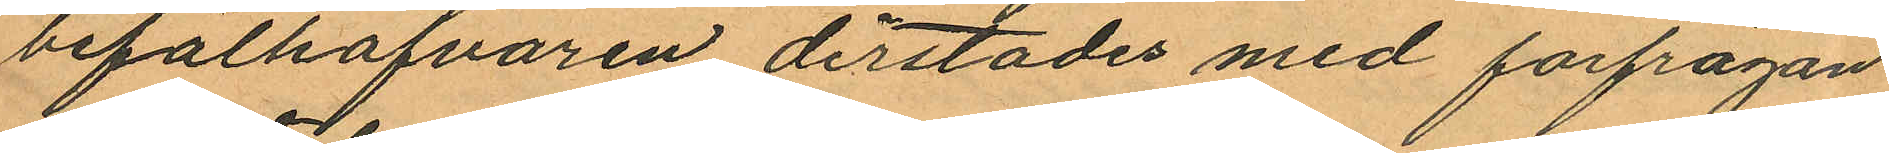befälhafvaren derstädes med förfrågan
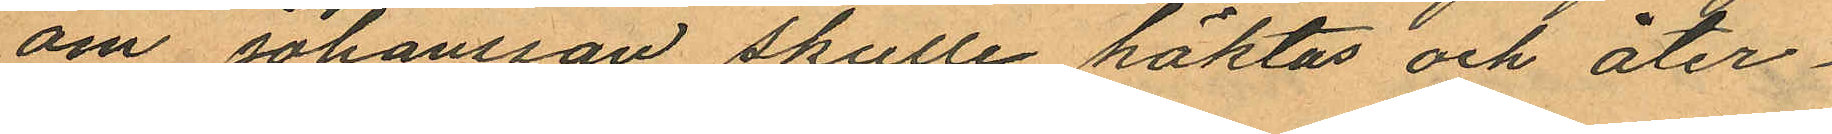om Johansson skulle häktas och åter¬
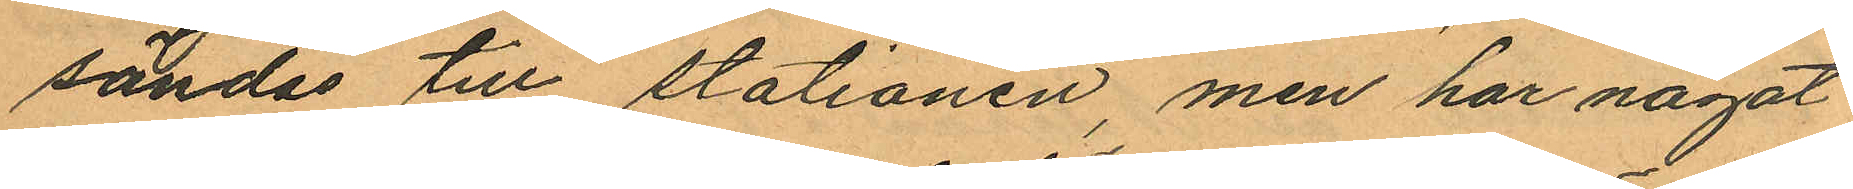sändas till stationen, men har något
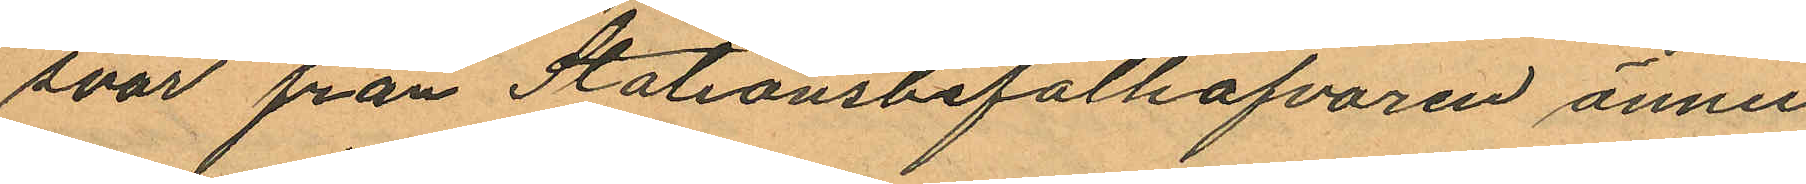svar från Stationsbefälhafvaren ännu
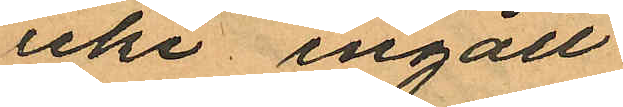icke ingått
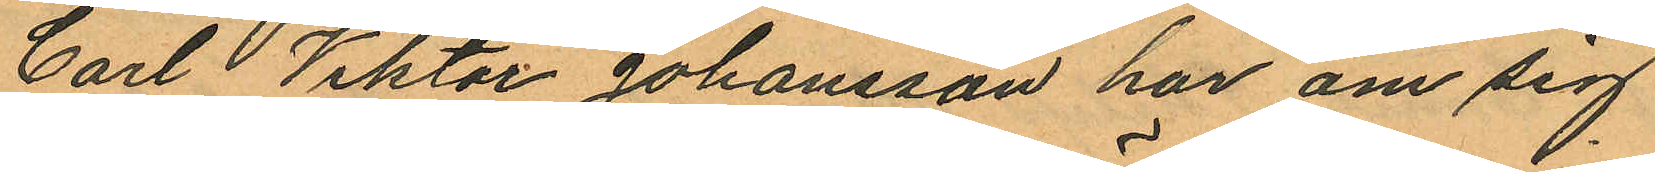Carl Viktor Johansson har om sig
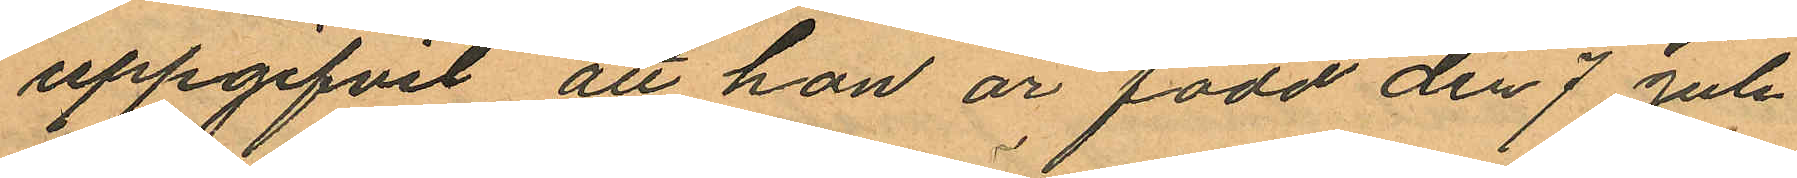uppgifvit att han är född den 7 Juli
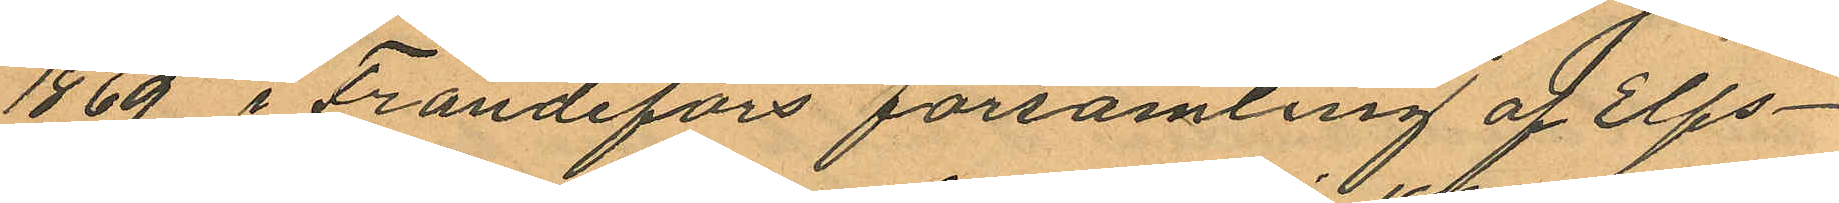1869 i Frändefors församling af Elfs¬
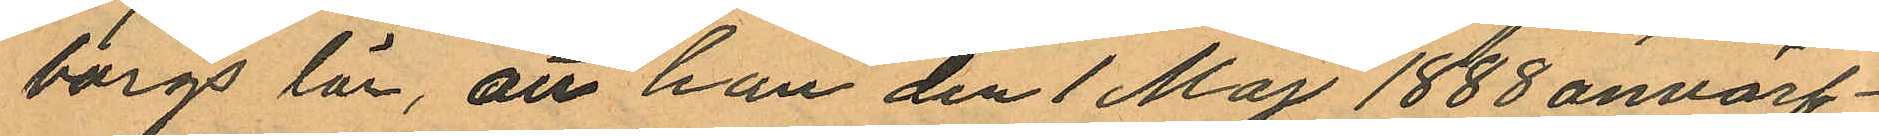borgs län, att han den 1 Maj 1888 anvärf¬
